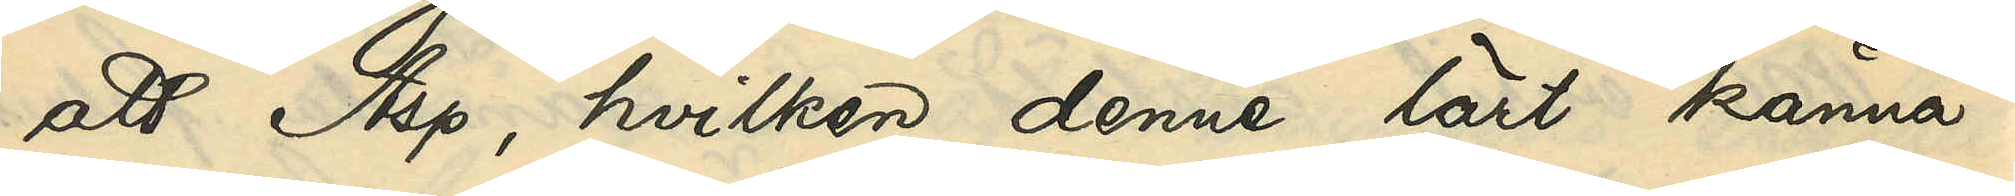att Asp, hvilken denne lärt känna i
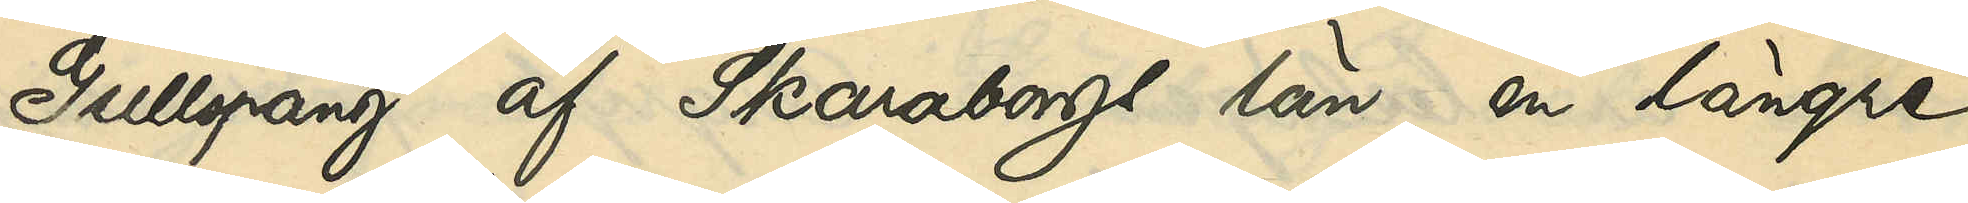Gullspång af Skaraborgs län, en längre
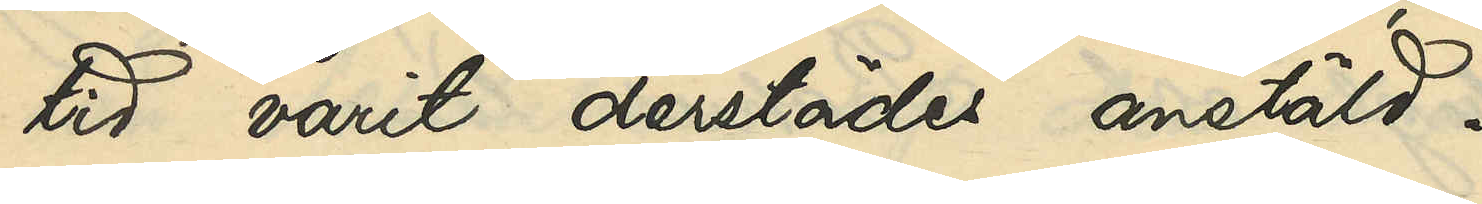tid varit derstädes anstäld.
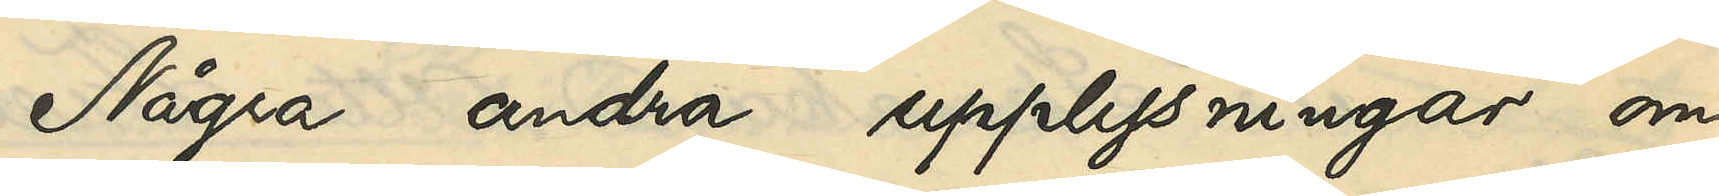Några andra upplysningar om
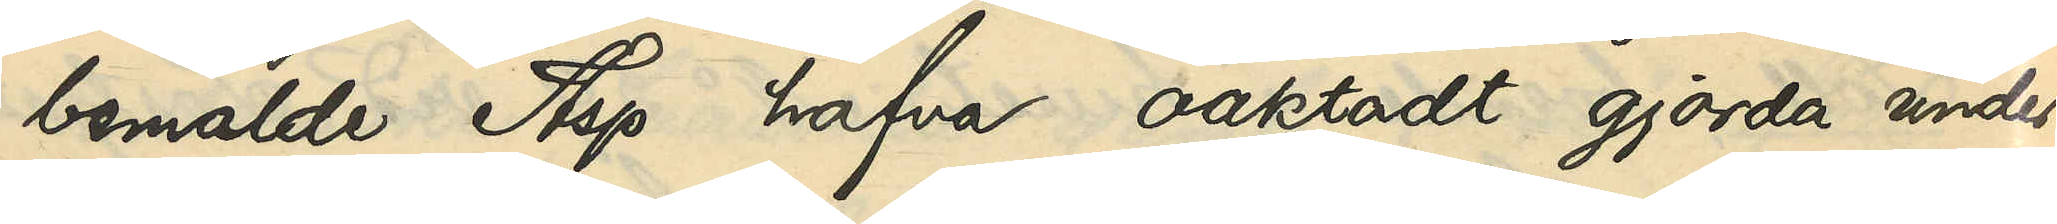bemälde Asp hafva oaktadt gjorda under¬
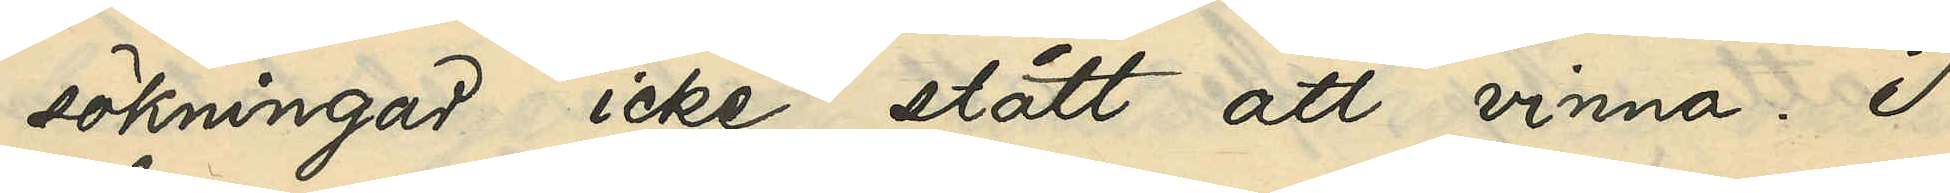sökningar icke stått att vinna. I
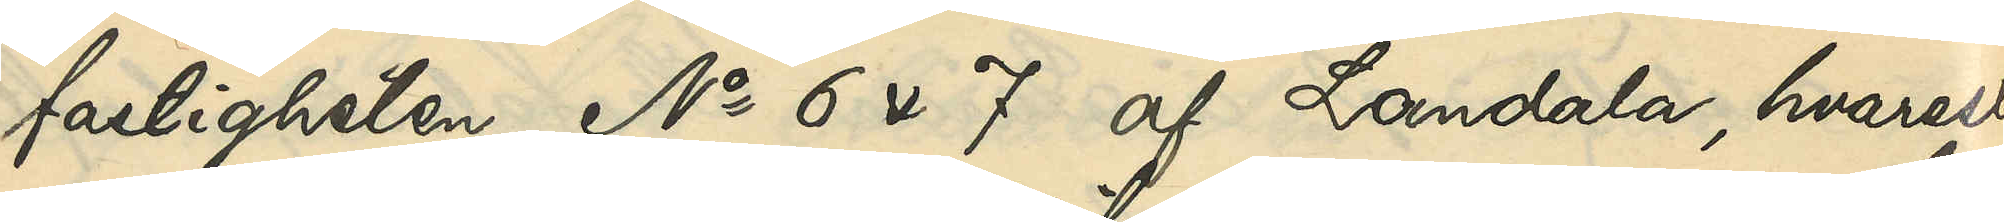fastigheten No 6 & 7 af Landala, hvarest
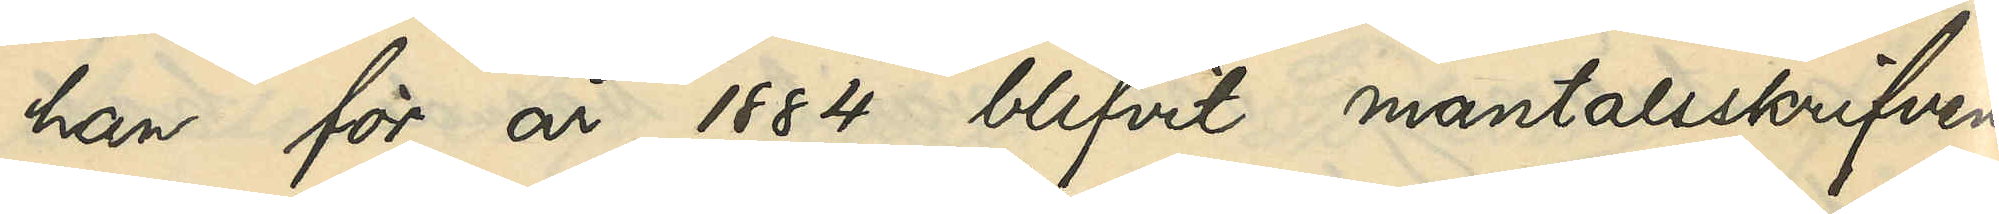han för år 1884 blifvit mantalsskrifven,
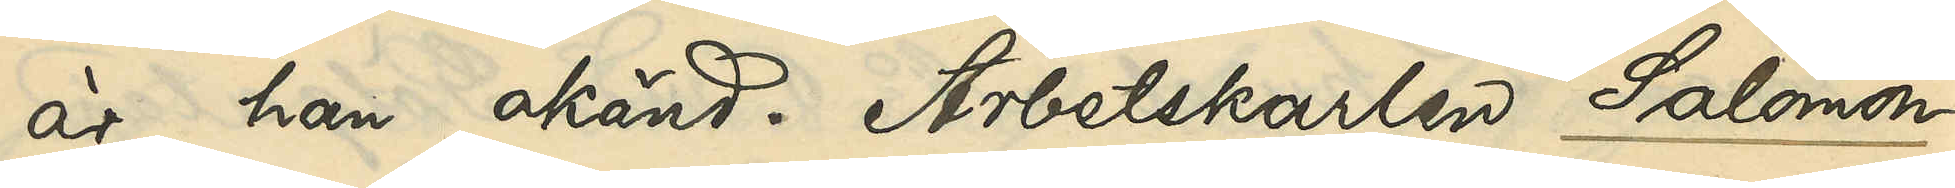är han okänd. Arbetskarlen Salomon
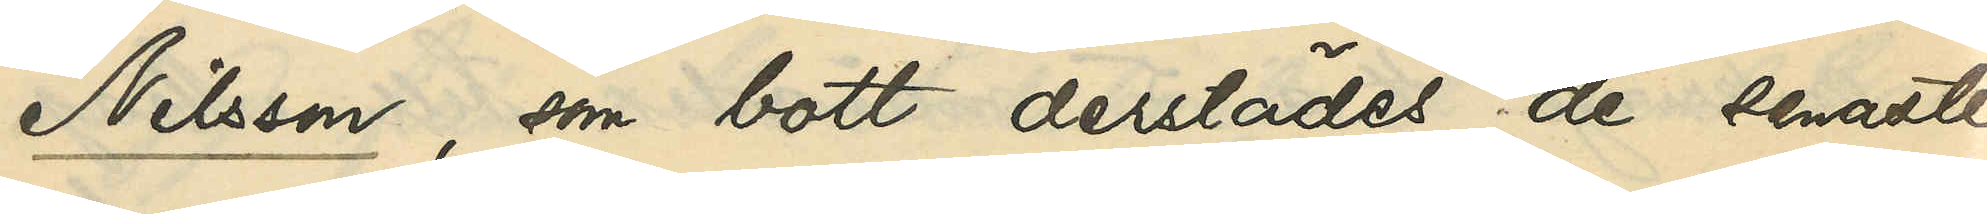Nilsson, som bott derstädes de senaste
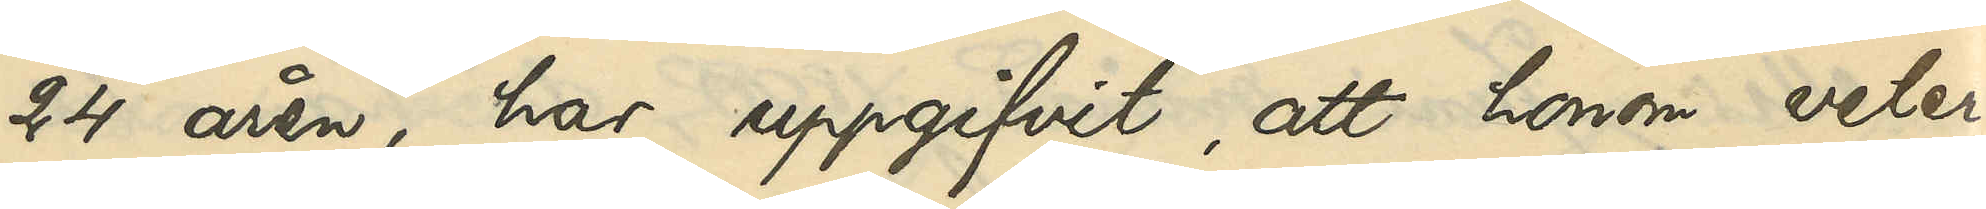24 åren, har uppgifvit, att honom veter¬
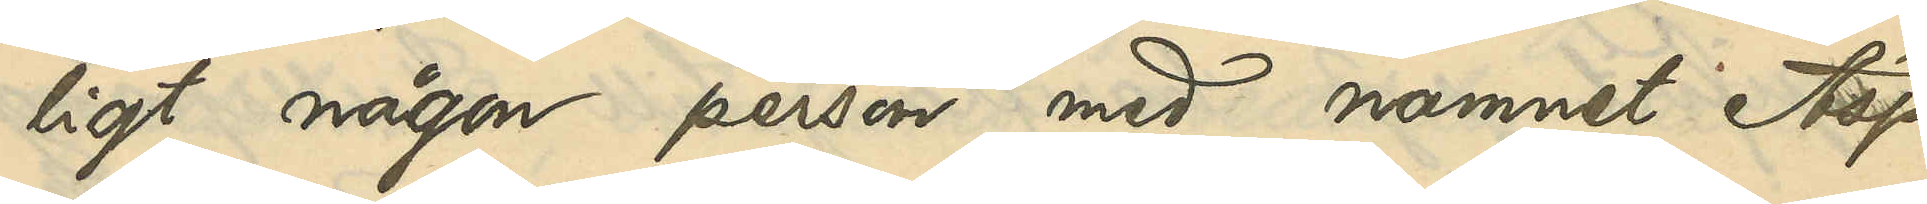ligt någon person med namnet Asp
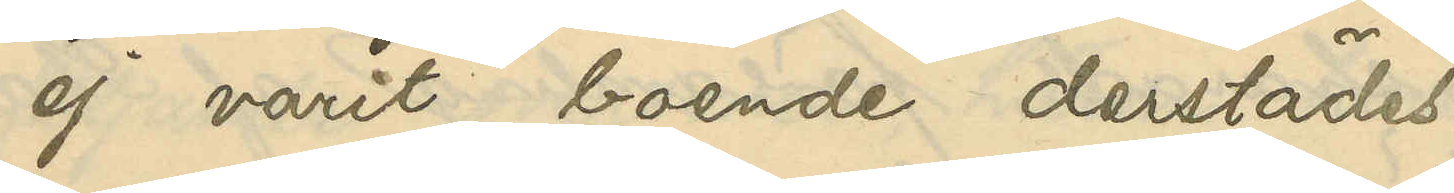ej varit boende derstädes.
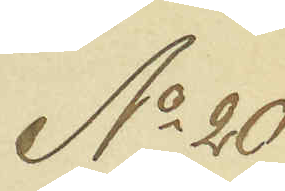No 20
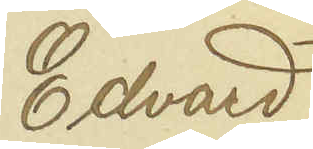Edvard
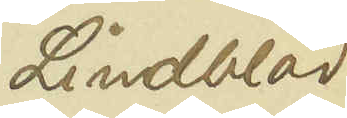Lindblad
